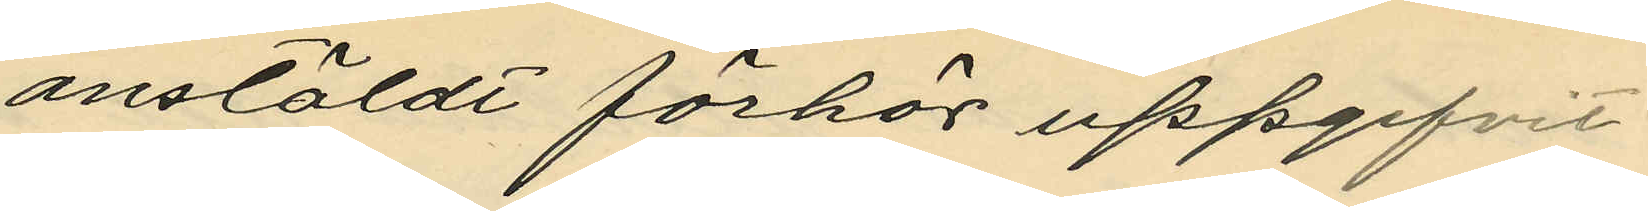anstäldt förhör uppgifvit
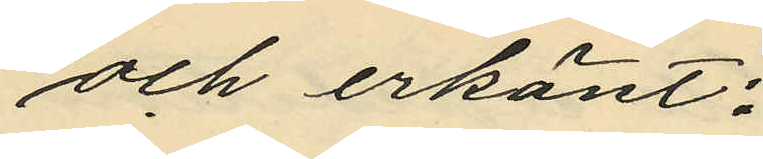och erkänt:
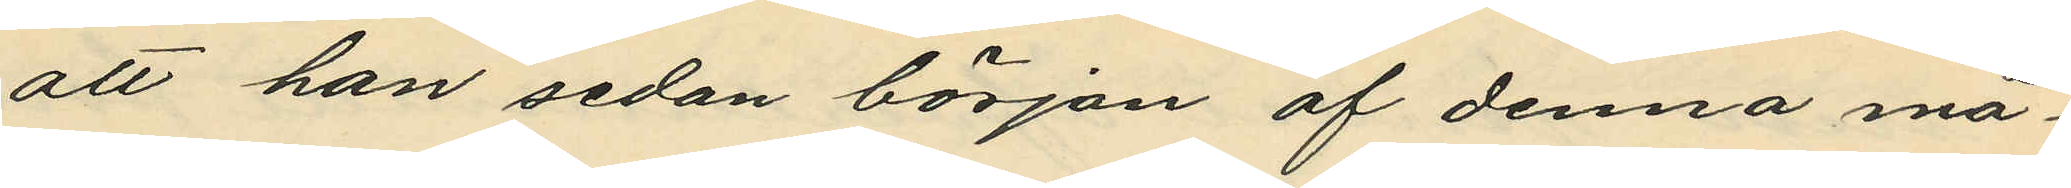att han sedan början af denna må¬
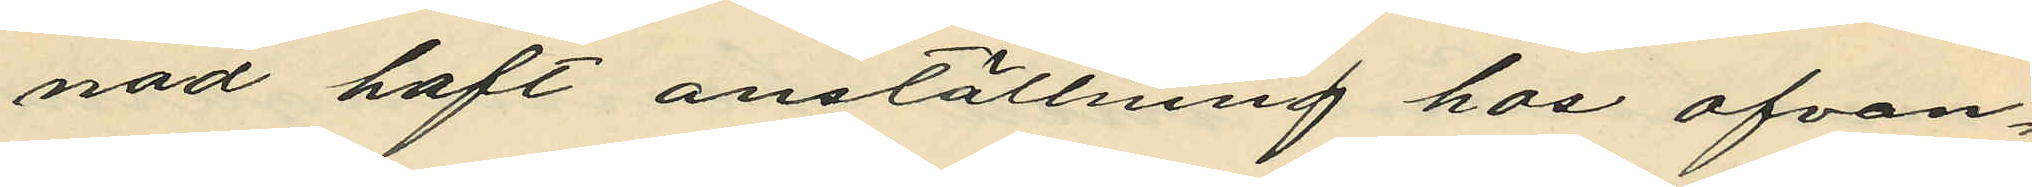nad haft anställning hos ofvan¬
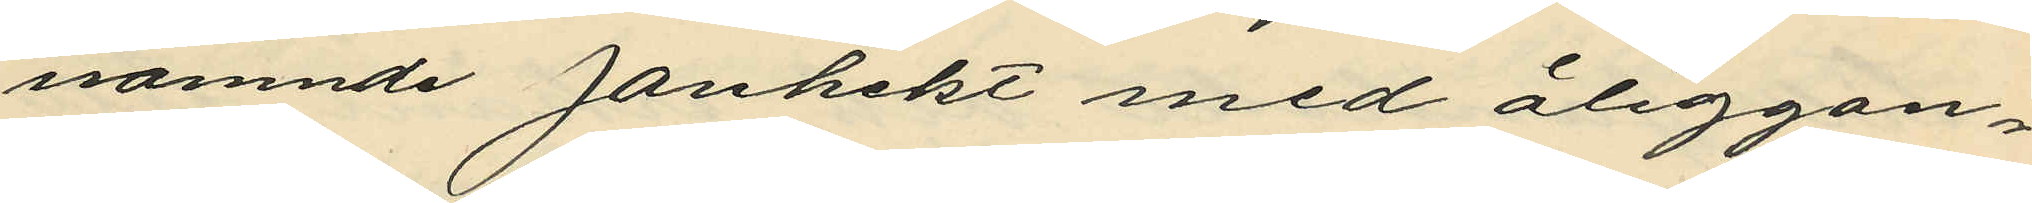namnde Janhekt med åliggan¬
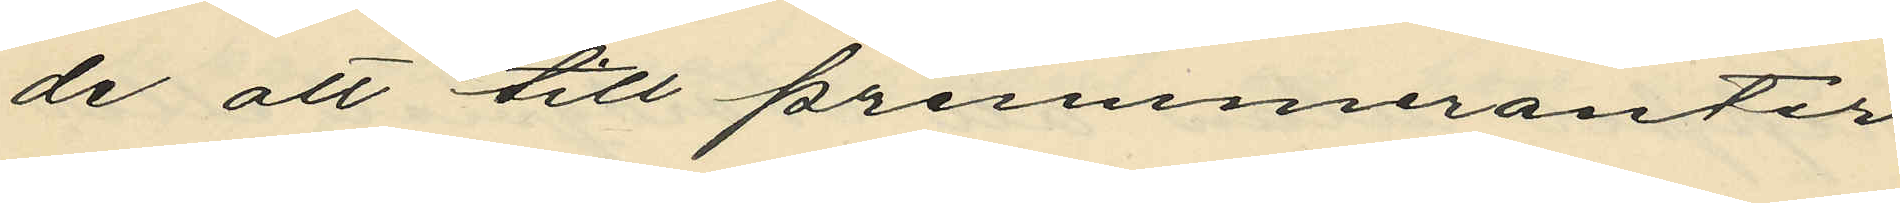de att till prenumeranter
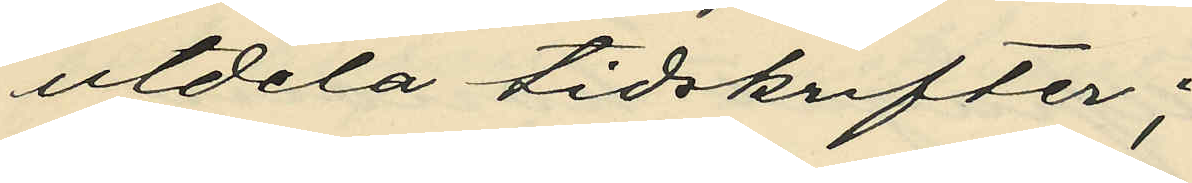utdela tidskrifter;
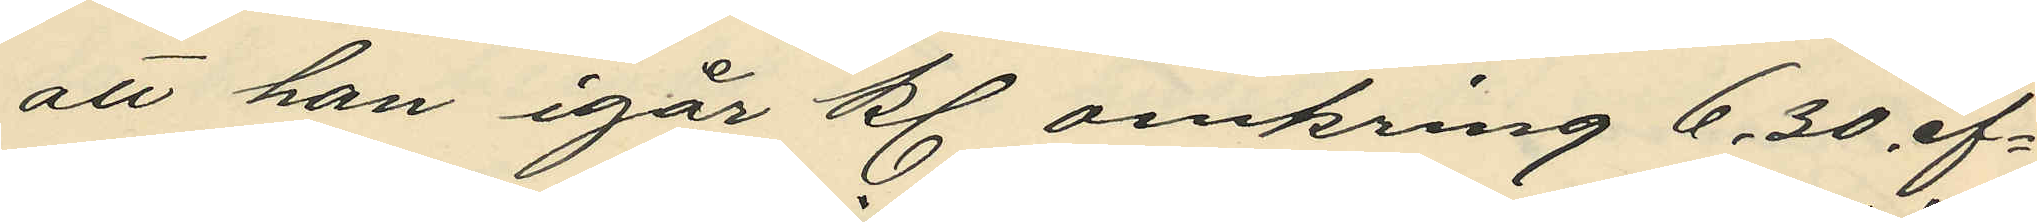att han igår kl. omkring 6.30 ef¬
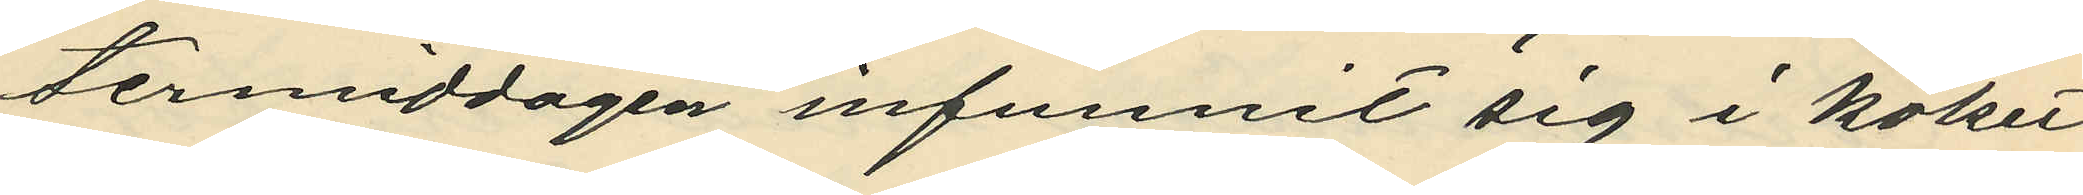termiddagen infunnit sig i köket
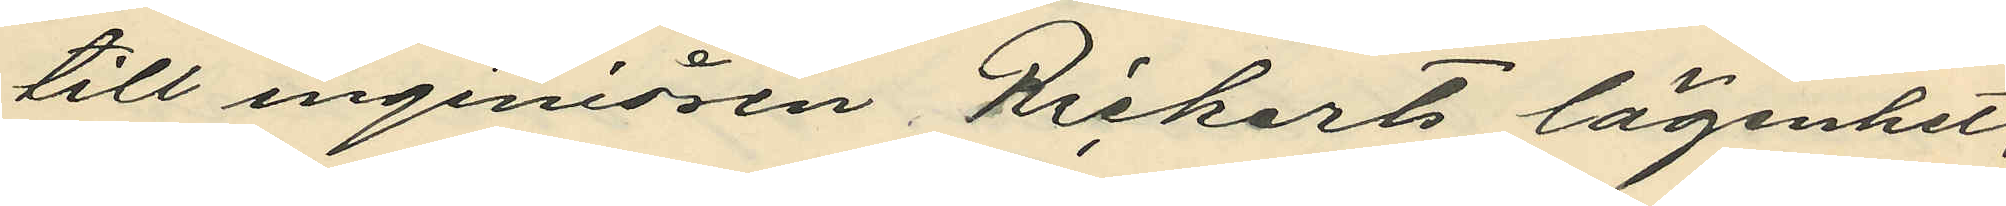till ingeniören Richarts lägenhet, 
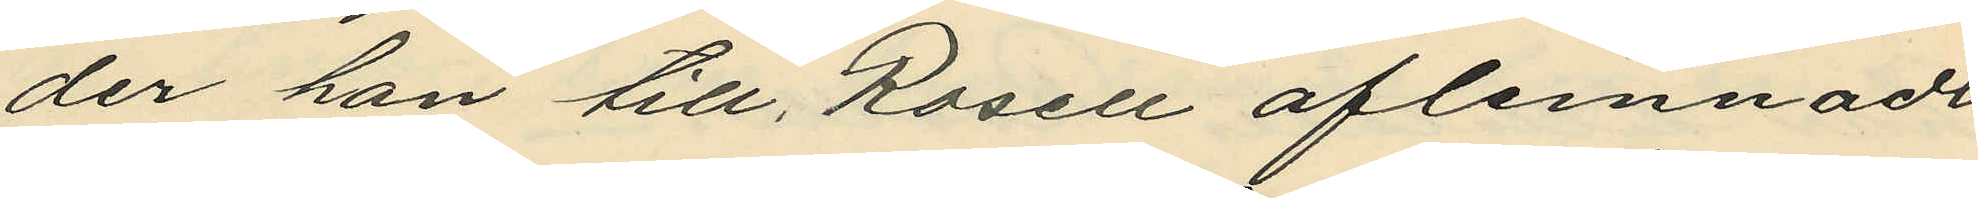der han till Rosell aflemnadt
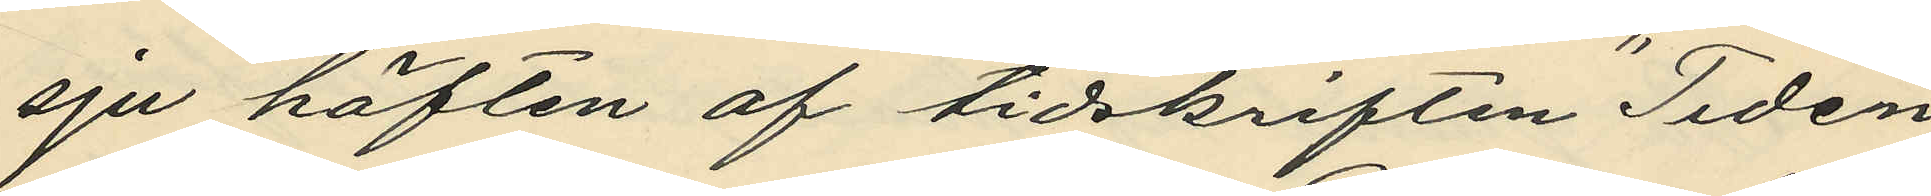sju häften af tidskriften "Tiden"
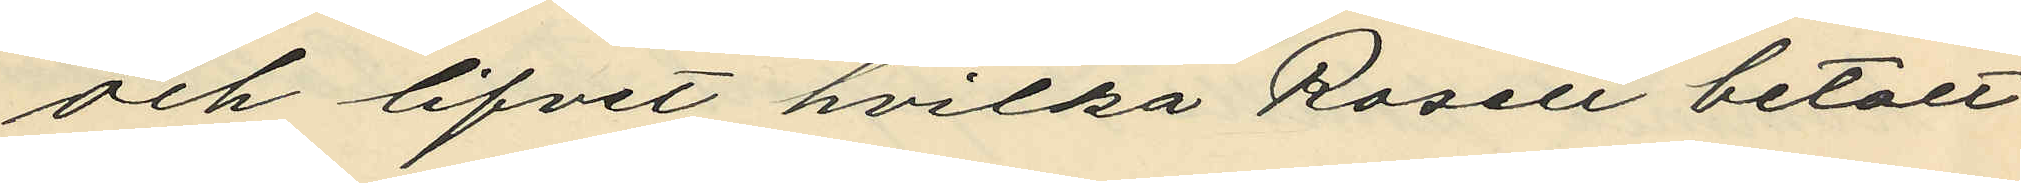och lifvet hvilka Rosell betalt
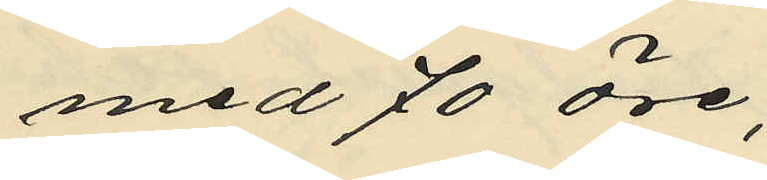med 70 öre;
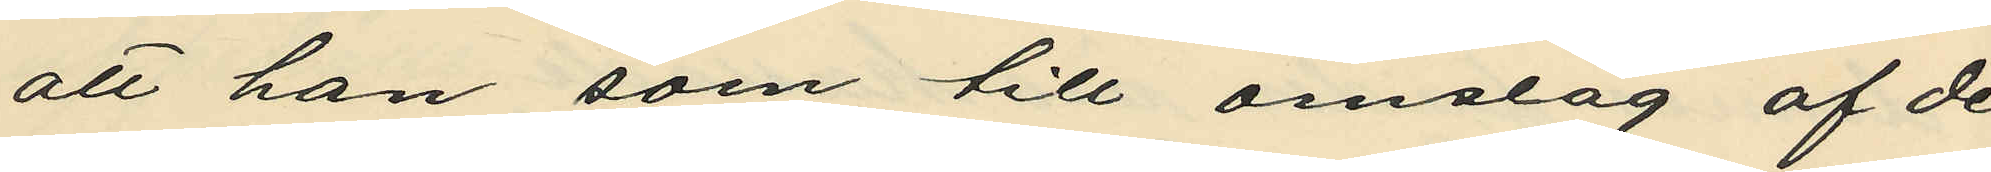att han som till omslag af de
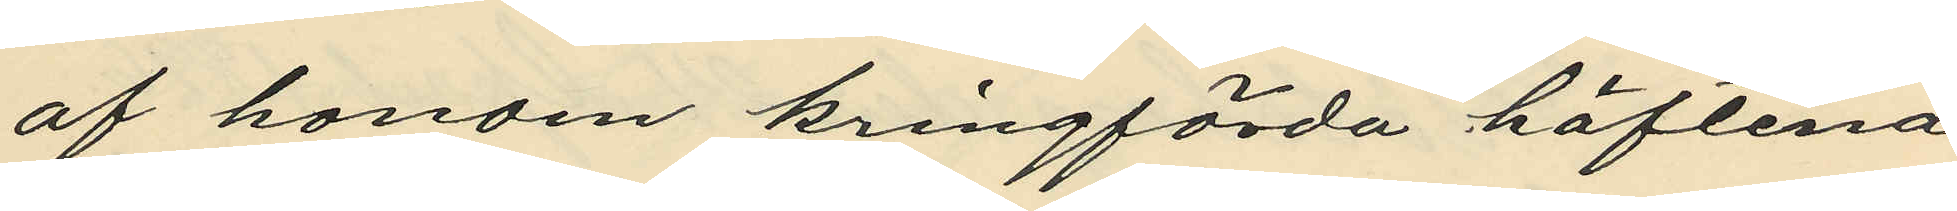af honom kringförda häftena
